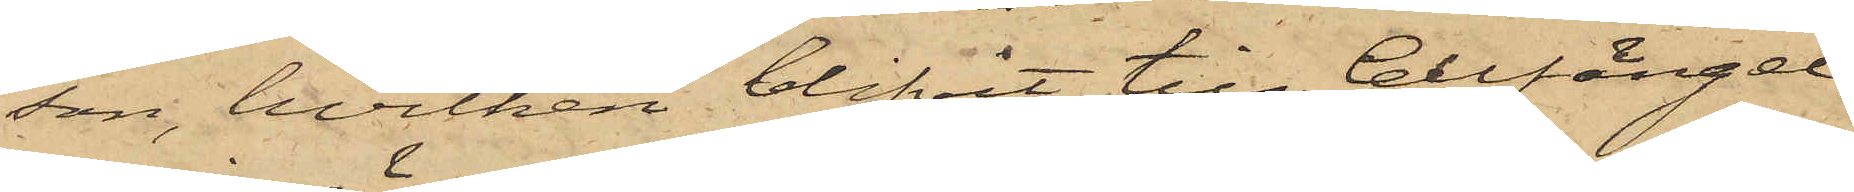son, hvilken blifvit till Cellfängel¬
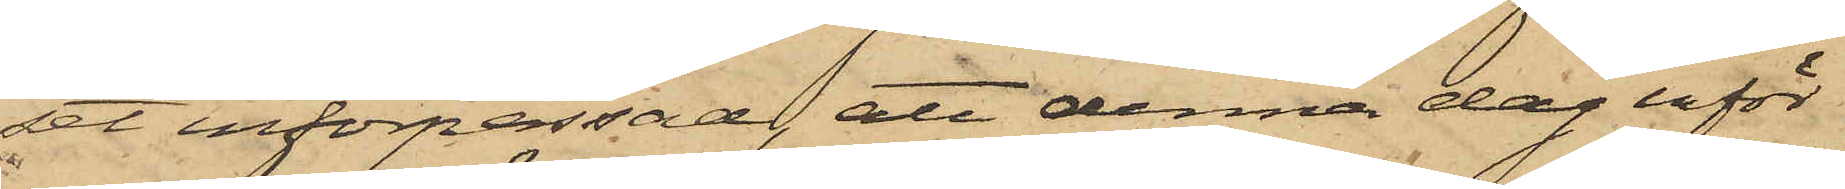set införpassad, att denna dag inför
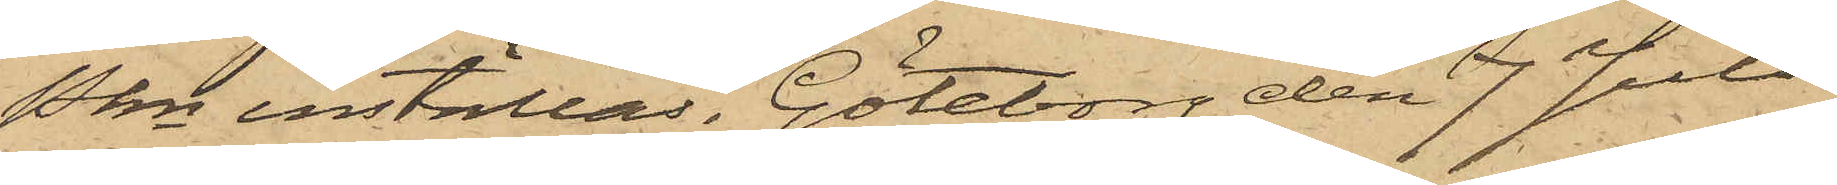Pkn inställas. Göteborg den 7 Juli
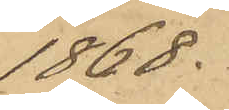1868.
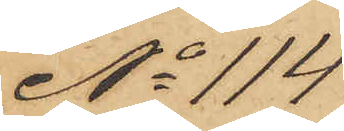No 114
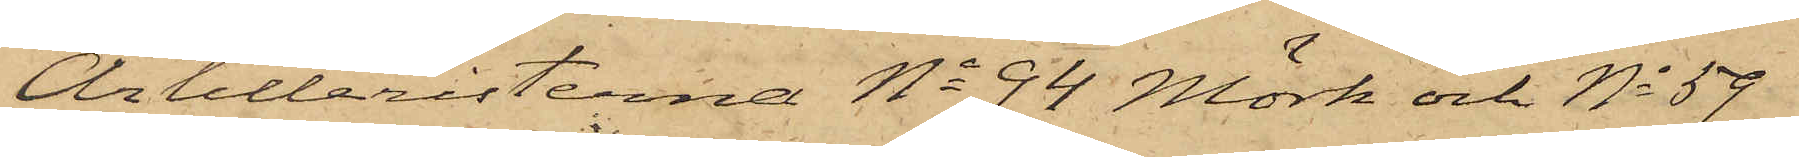Artilleristerna No 94 Mörk och No 59
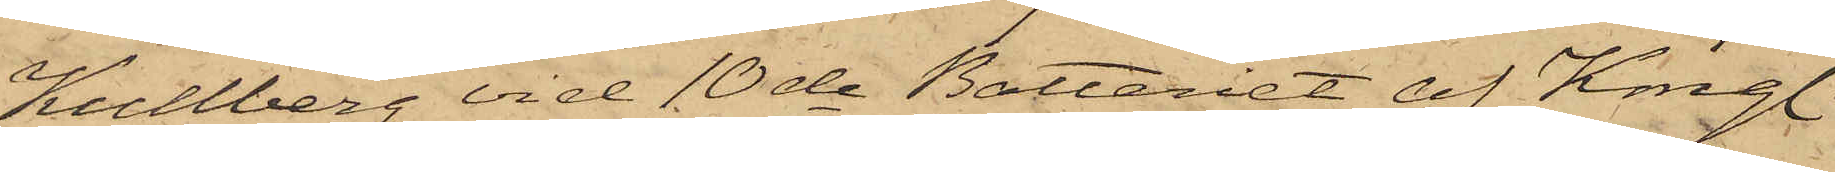Kullberg vid 10de Batteriet af Kongl.
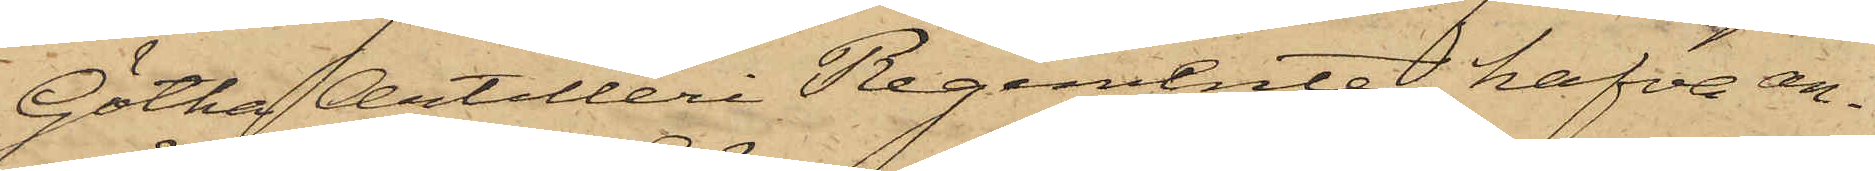Götha Artilleri Regemente hafva an¬
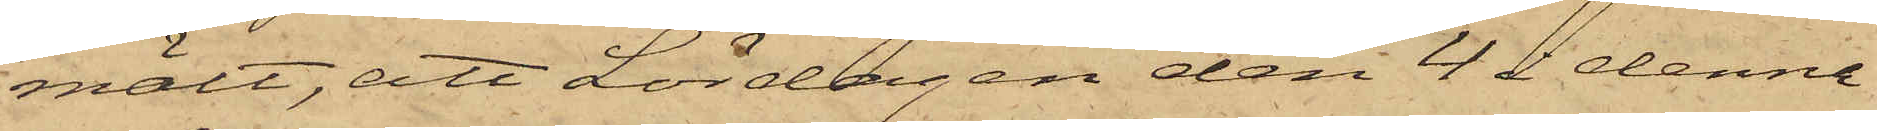mält, att Lördagen den 4 i denna
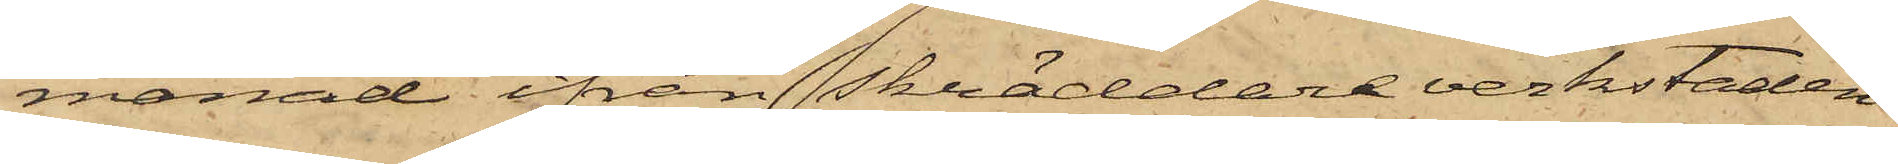månad ifrån Skräddareverkstaden
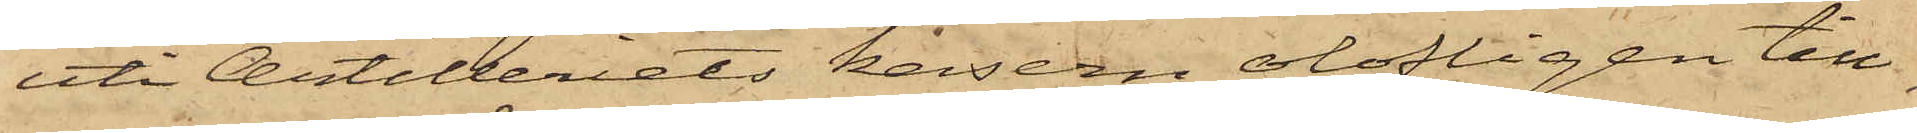uti Artilleriets kasern olofligen till¬
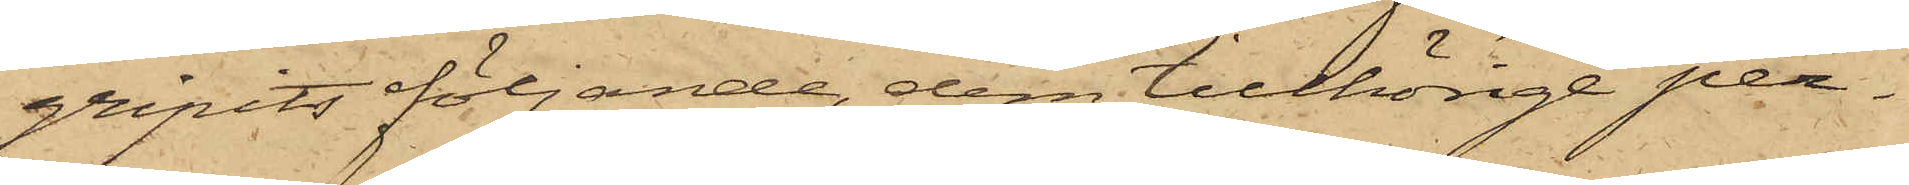gripits följande, dem tillhörige per¬
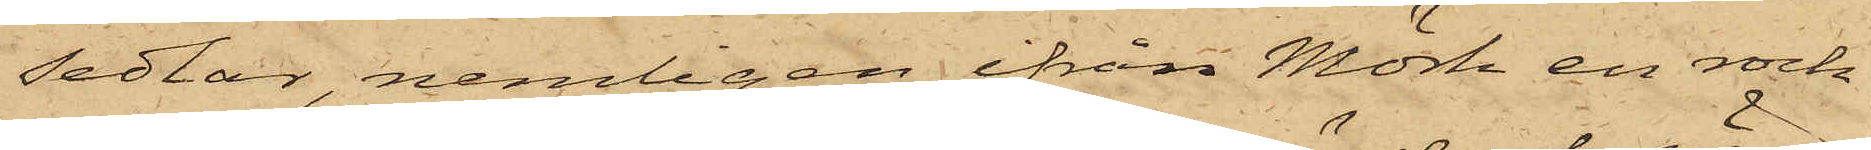sedlar, nemligen ifrån Mörk en rock
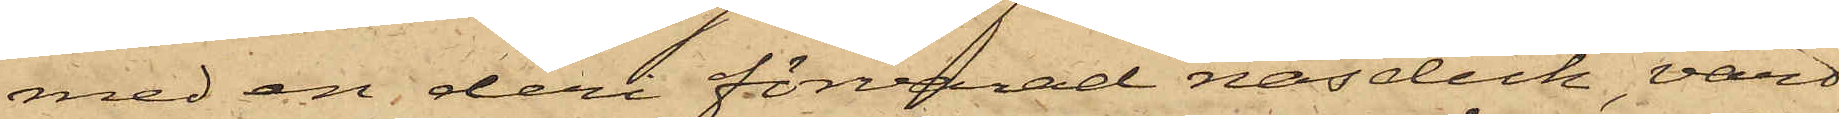med en deri förvarad näsduk, värd
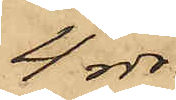4 rdr,
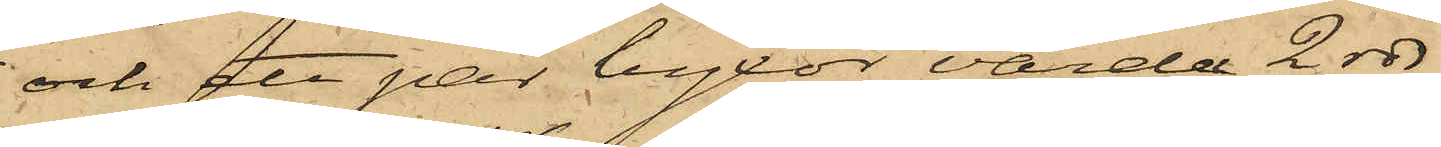och ett par byxor, värda 2 rdr
